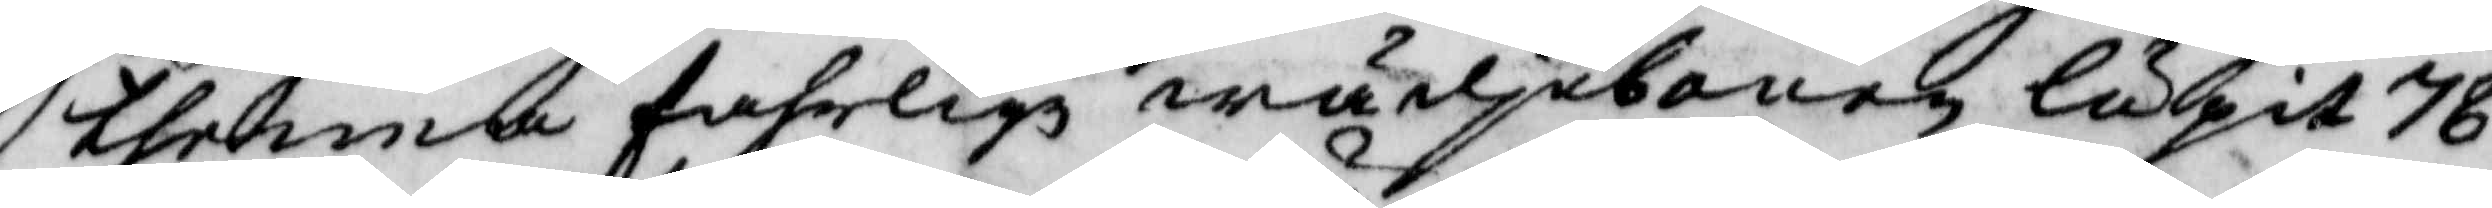thenna fahrlige wärjebanen lupit 78
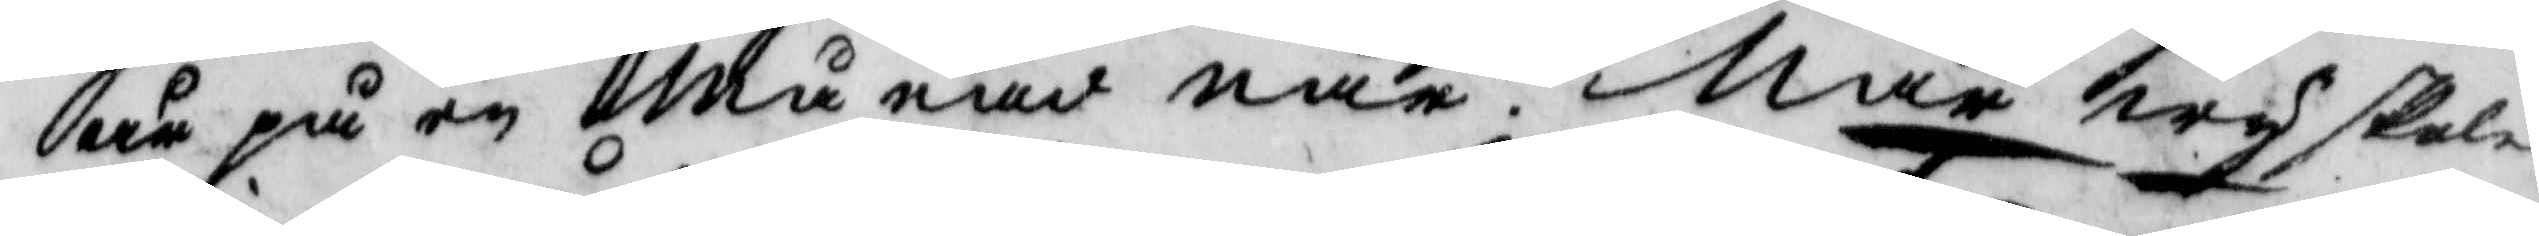är på en Månad när. När wy skola
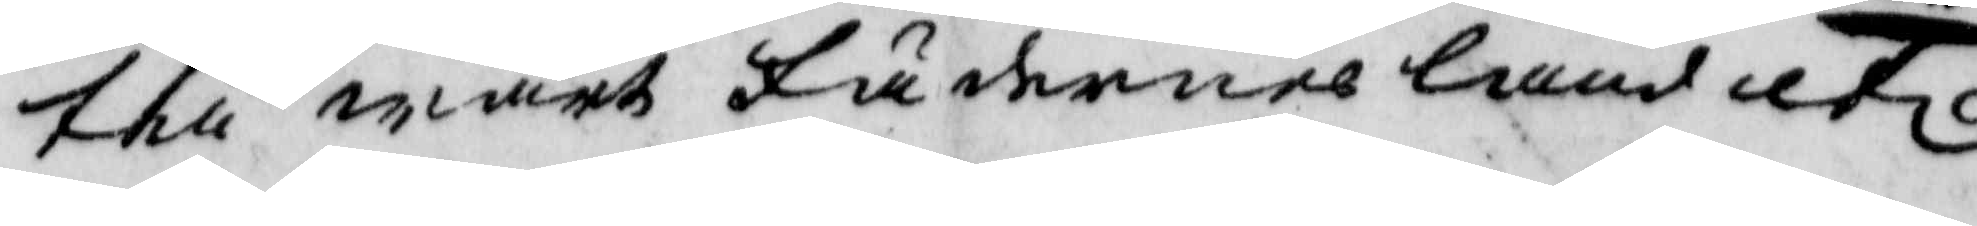till wårt Fädernes land uti
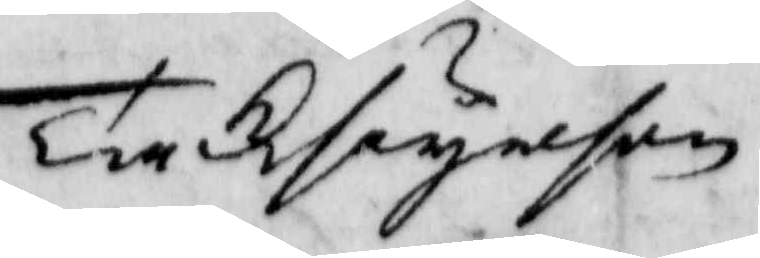Tacksäyelsen.
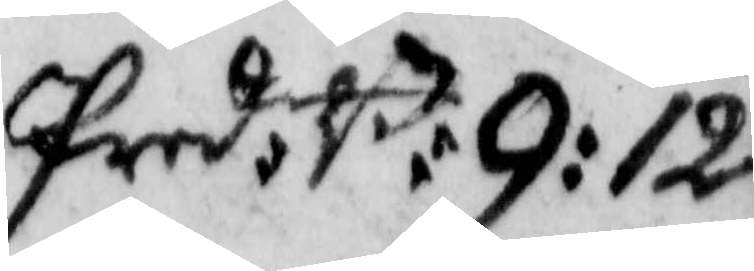Pred. B: 9: 12.
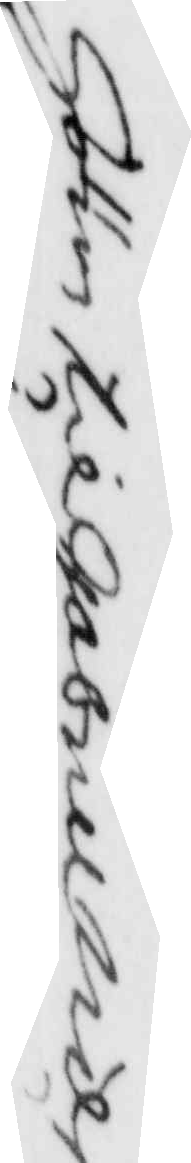Hörer till Gabrill Nils¬
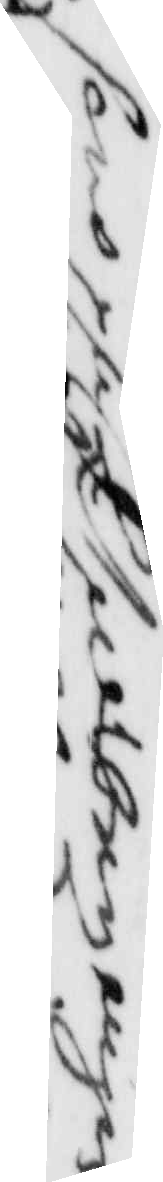sons på ltelbezängen
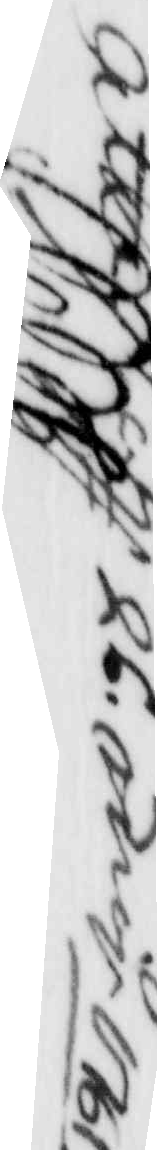attest d 26. maj 1761
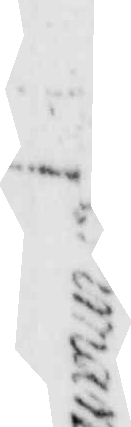Gust. Ekman
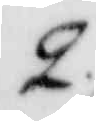2./.
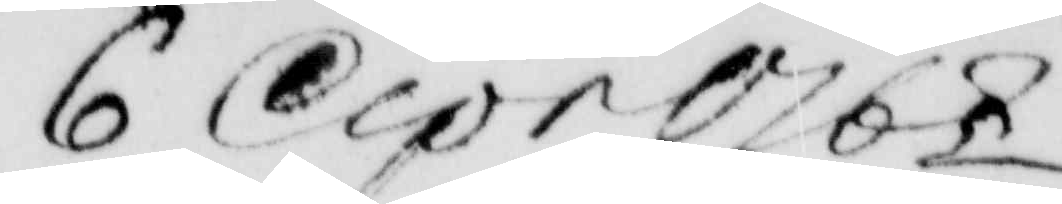6 Apr 1768
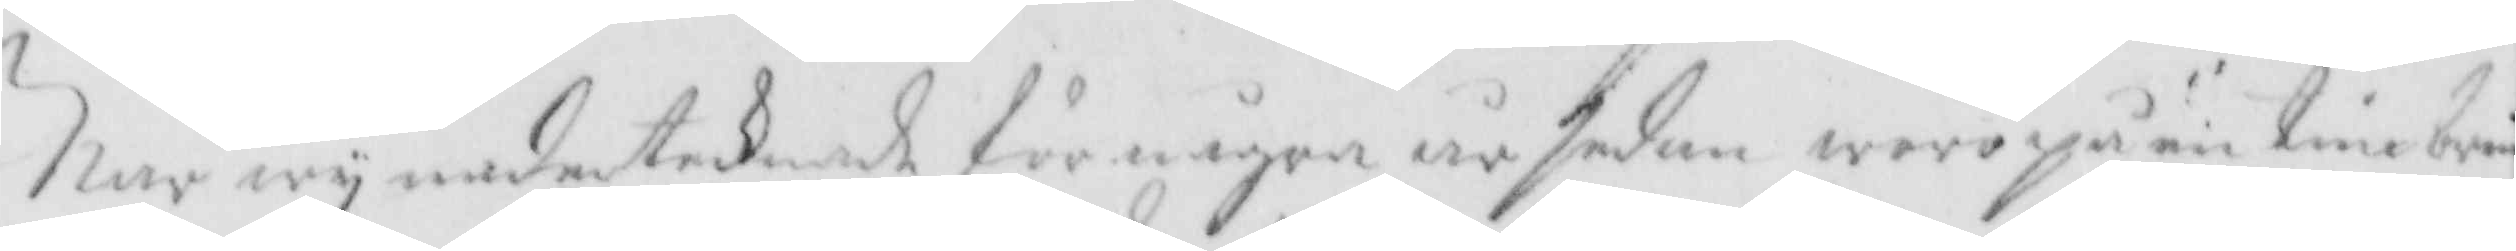När wy underteknade för några år sedan wore på en timbring
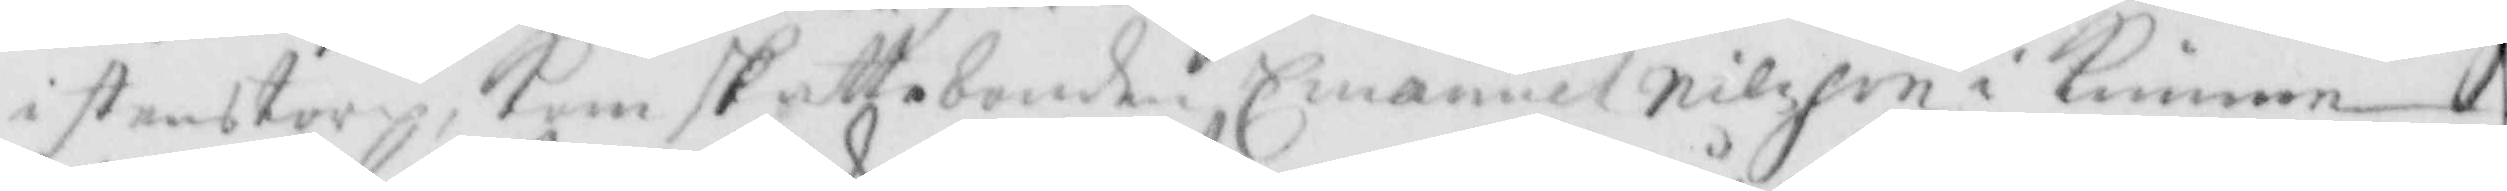i stenstorp, Kom skattebonden Emanuel Nilsson i Kimme
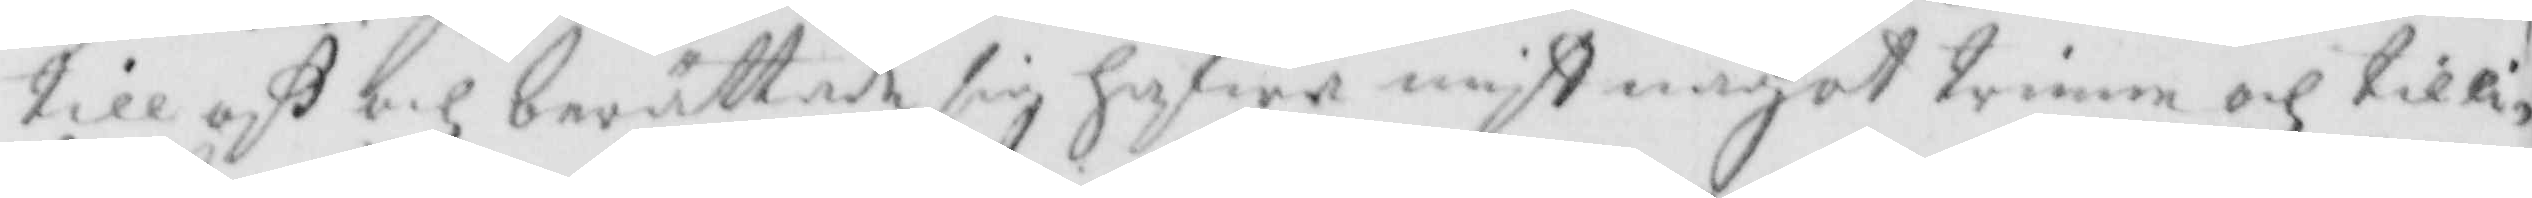till oß och berättade sig hafwa mist något timer och tilli¬ 
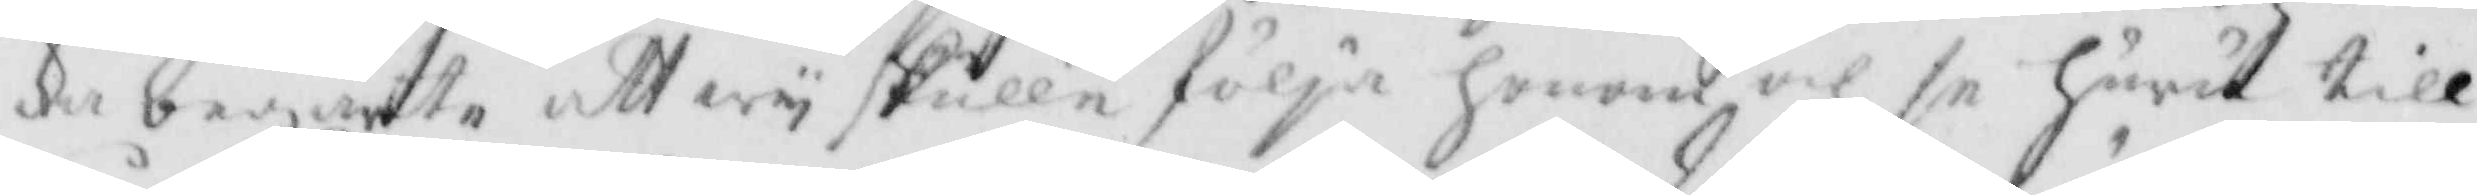ka begärtte att wy skulle följa honom och se hurut till¬
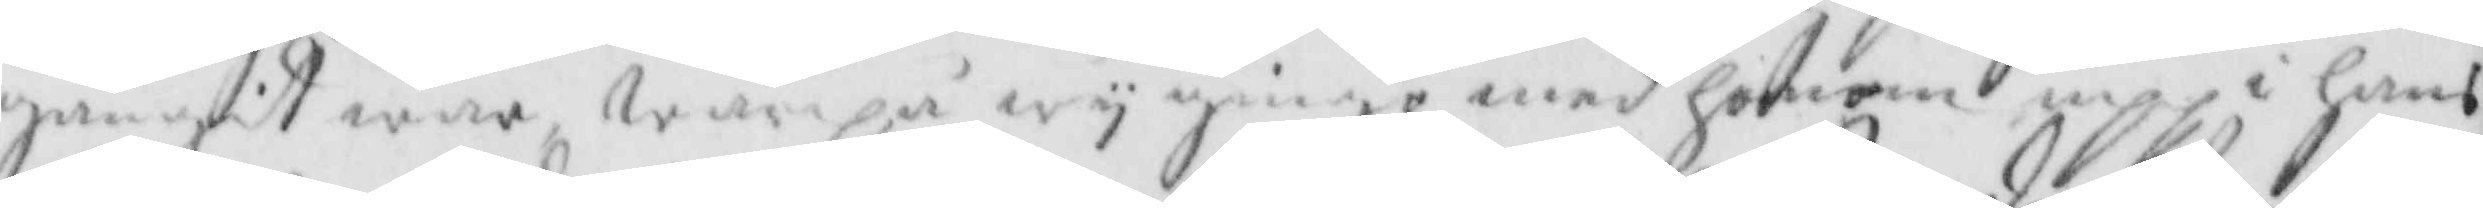gångit war, warupå wy gingo med honom upp på hans
